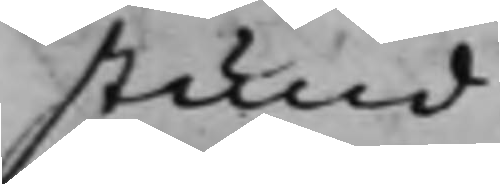stund.
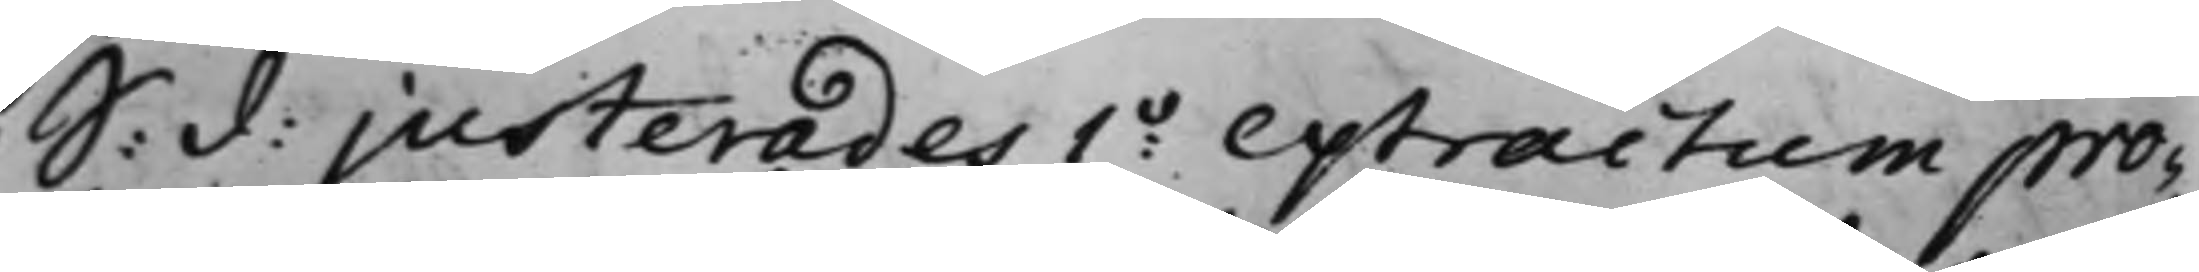S: d: justerades 1o extractum pro¬
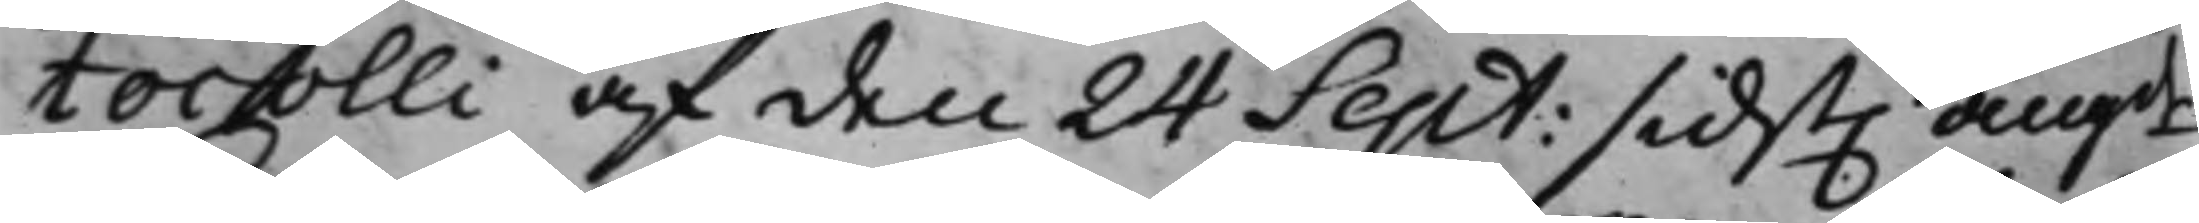tocolli af den 24 Sept: sidst. angde
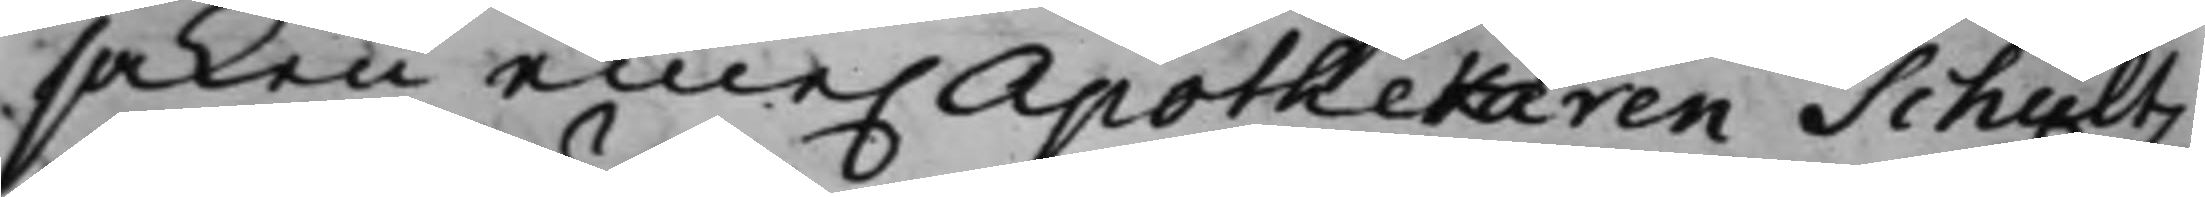saken eme. Apothekaren Schultz
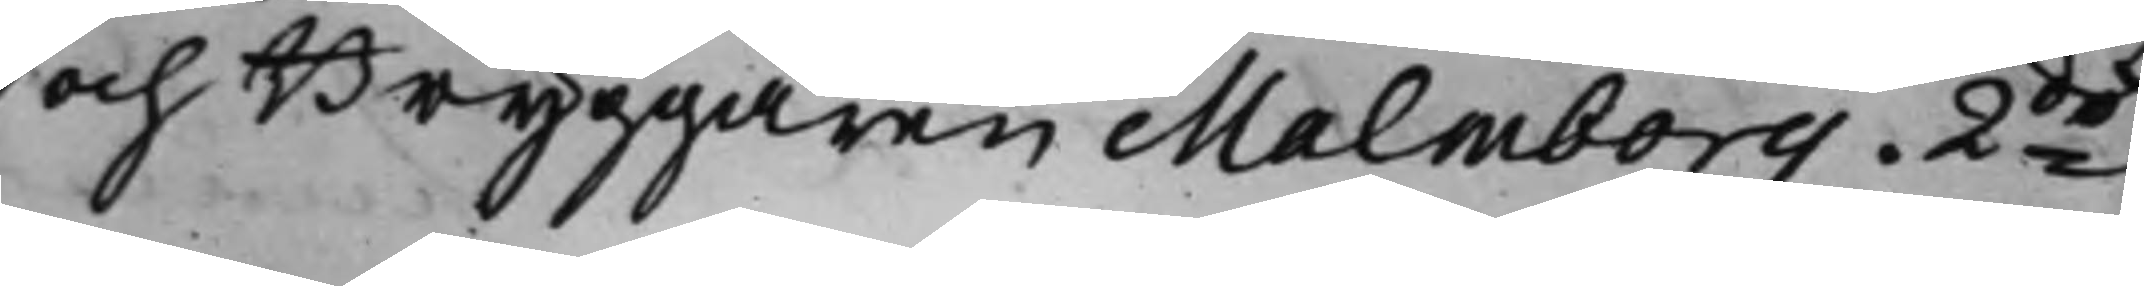och Bryggaren Malmborg. 2do
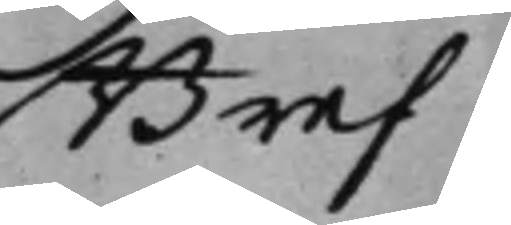Bref
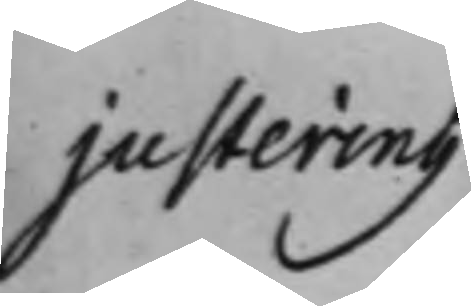justering
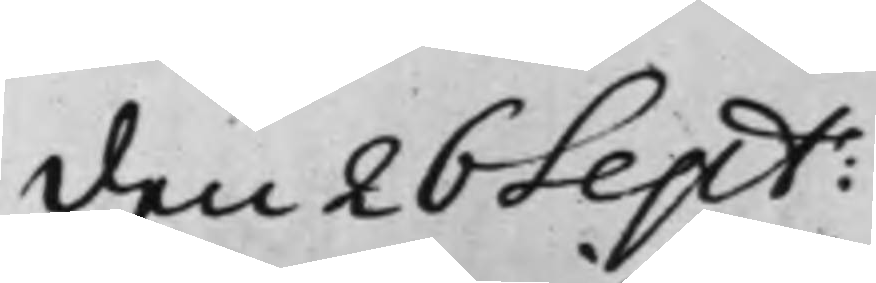den 26 Sept:
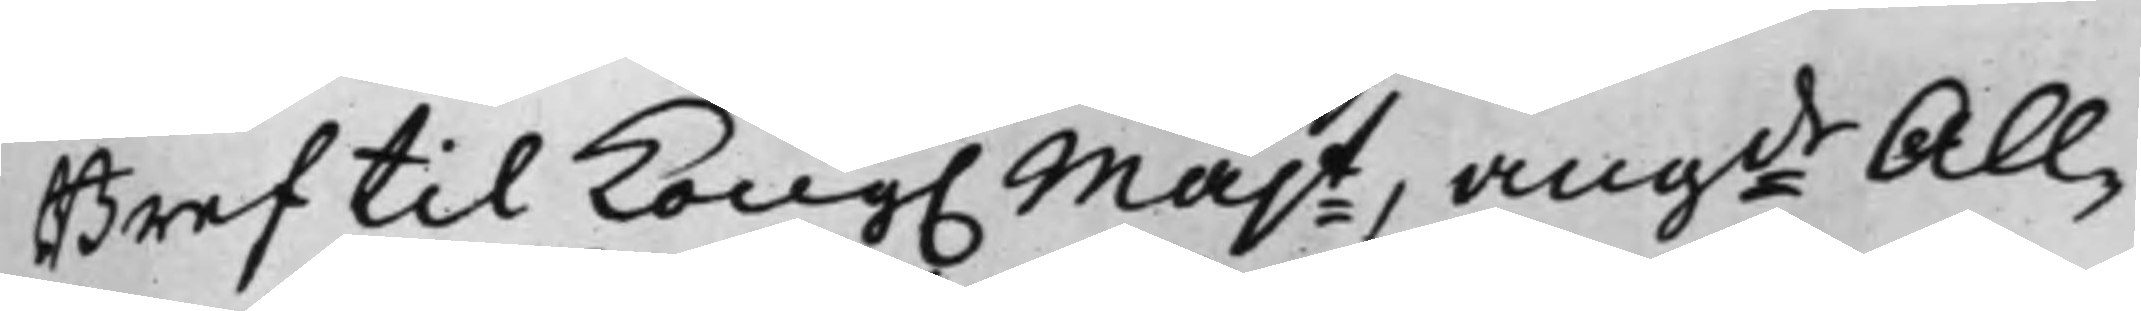Bref til Kong. Majt angde All¬
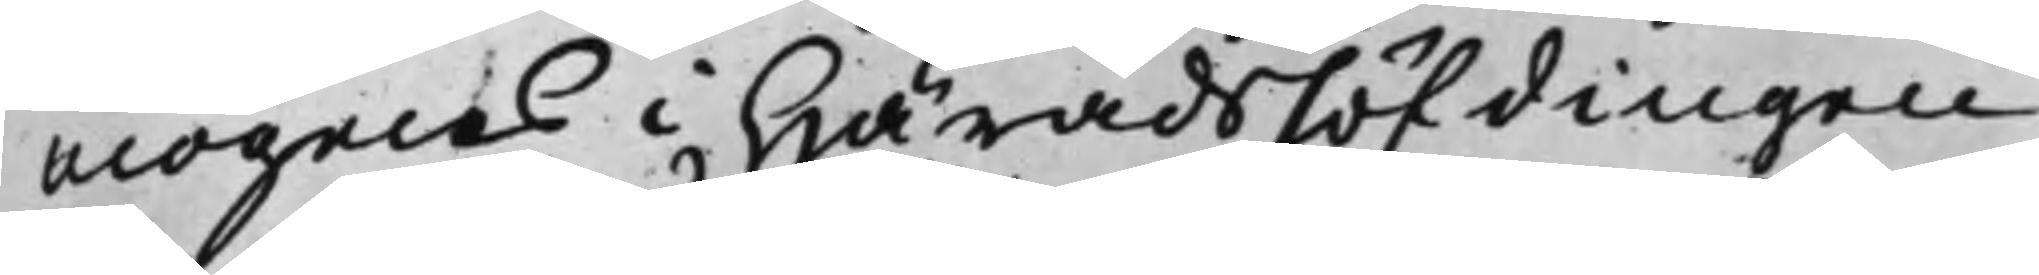mogens i Häradshöfdingen
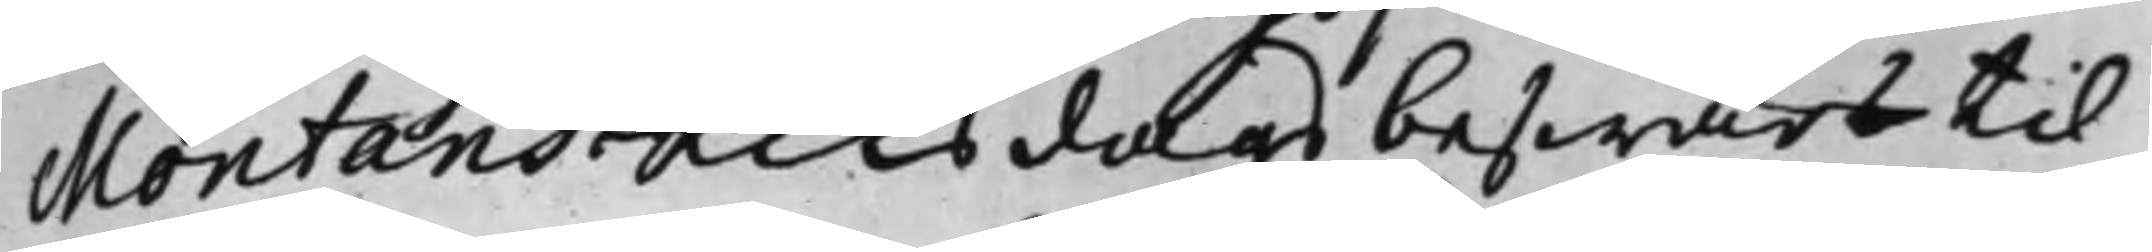Montans Riksdags beswärs til
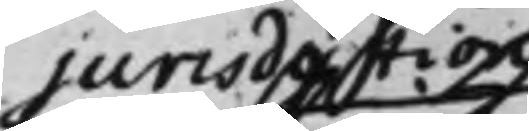jurisdiction
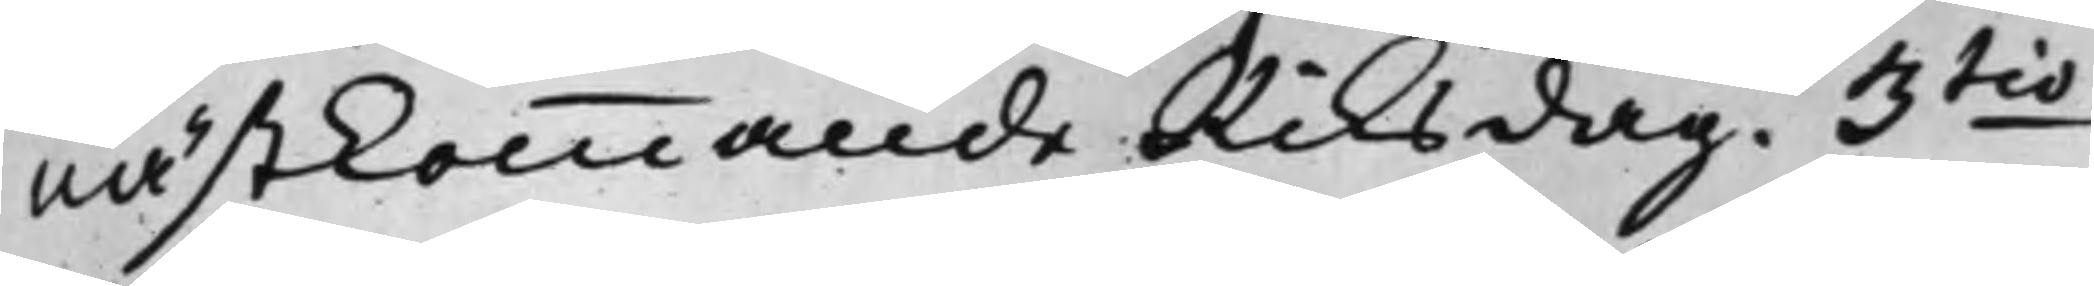nästkommande Riksdag. 3tio
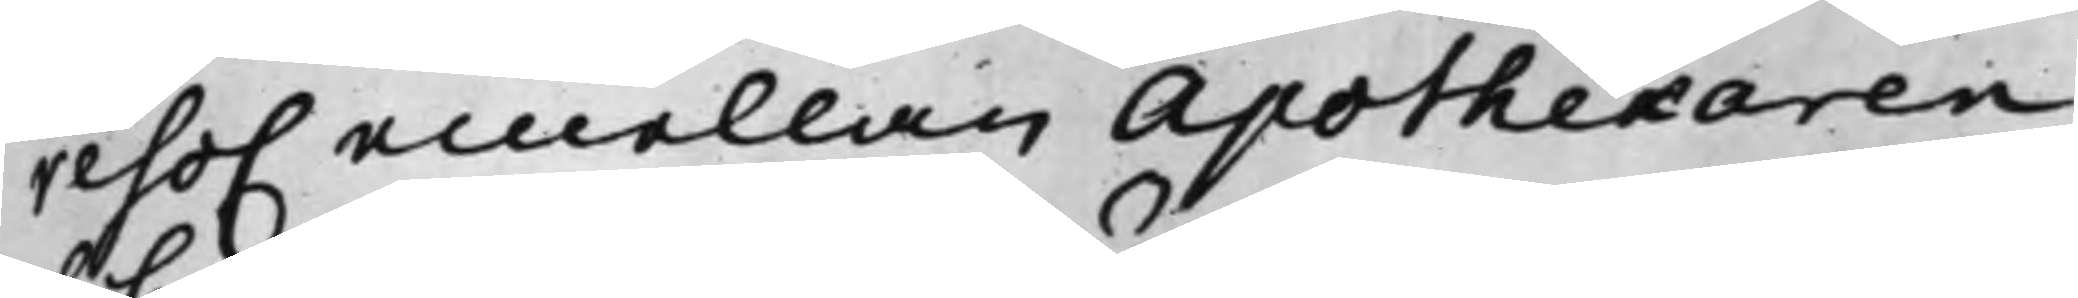reso. emellan Apothekaren
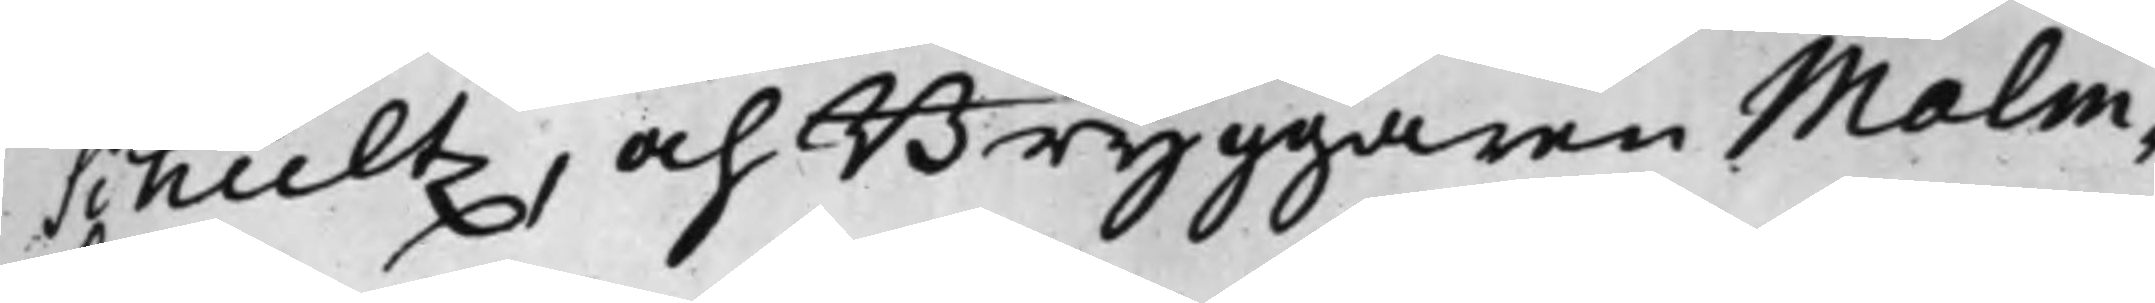Schultz, och Bryggaren Malm¬
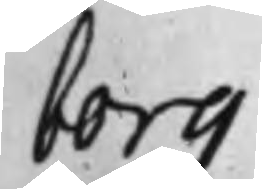borg
